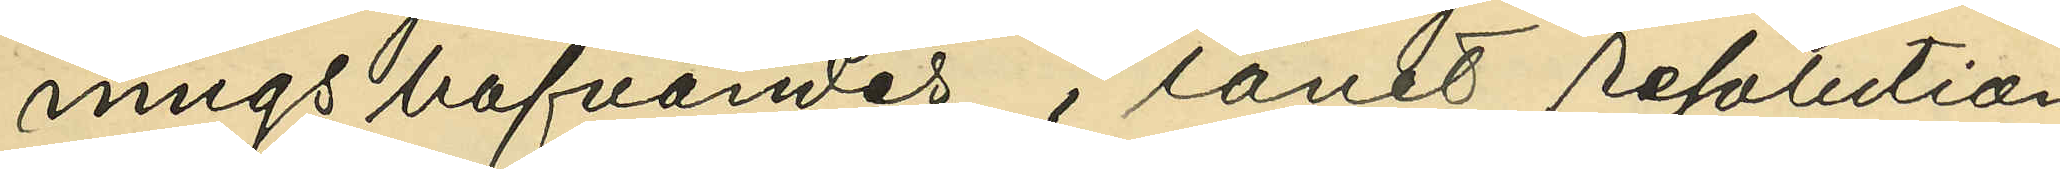ningshafvandes i länet resolution
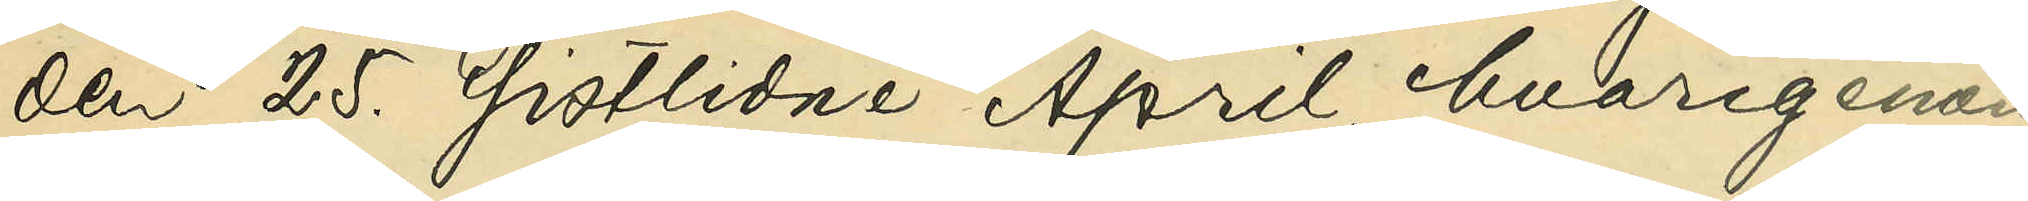den 25. sistlidne April, hvarigenom
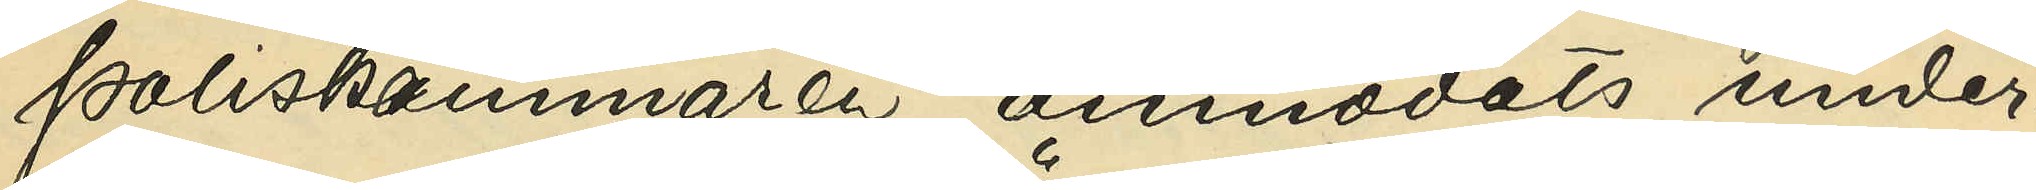Poliskammaren anmodats under¬
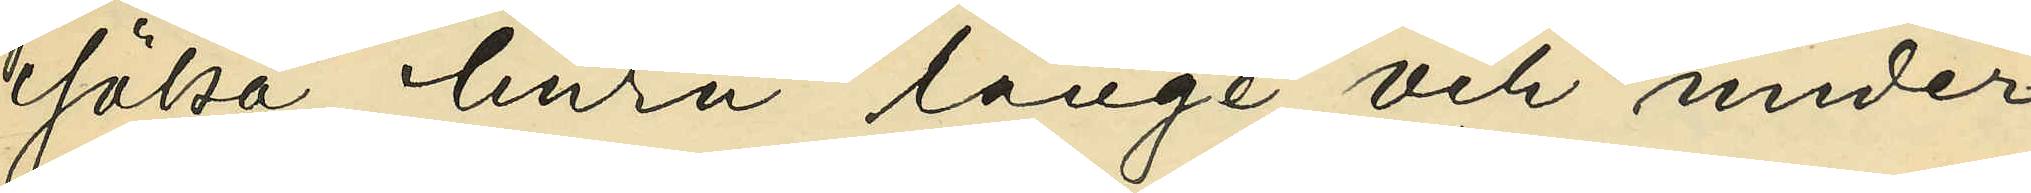söka, huru länge och under
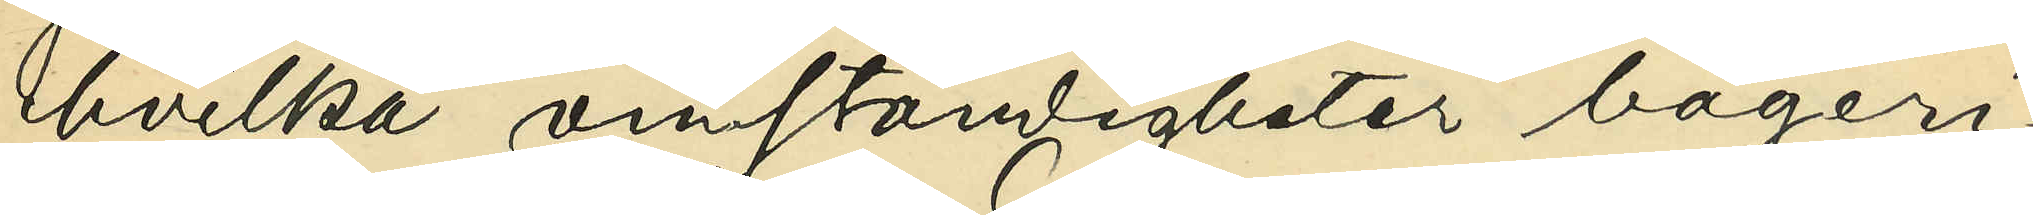hvilka omständigheter bageri¬
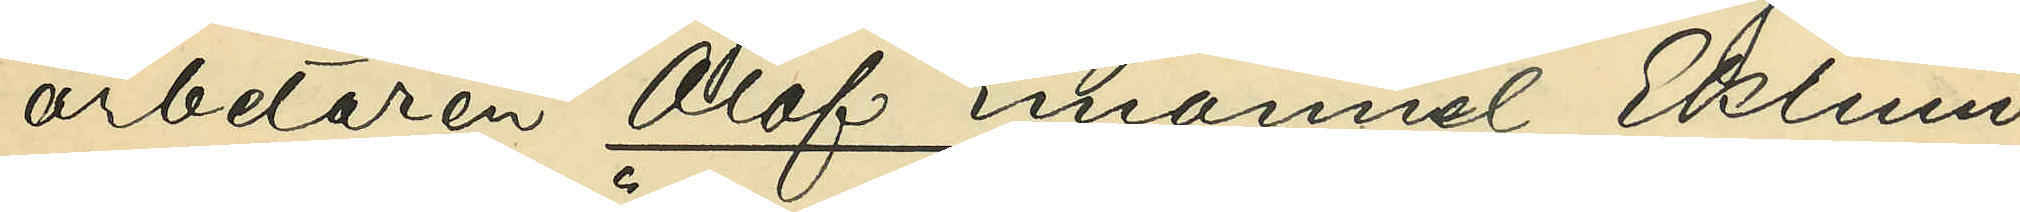arbetaren Olof Emanuel Eklund
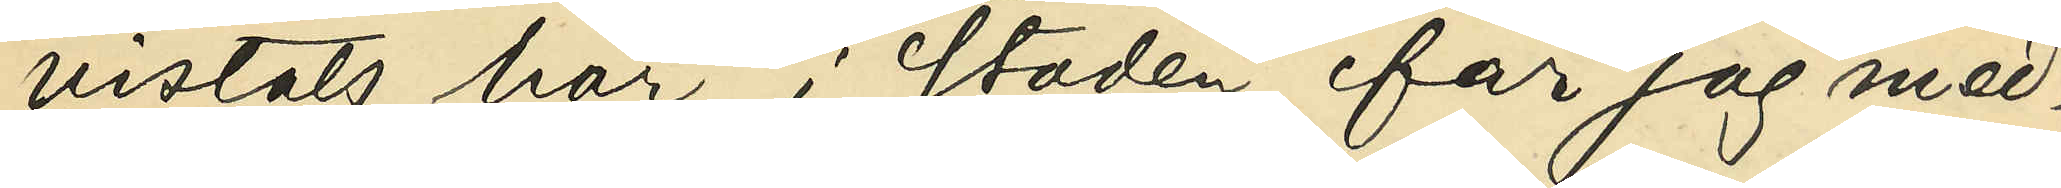vistats här i staden, får jag med¬
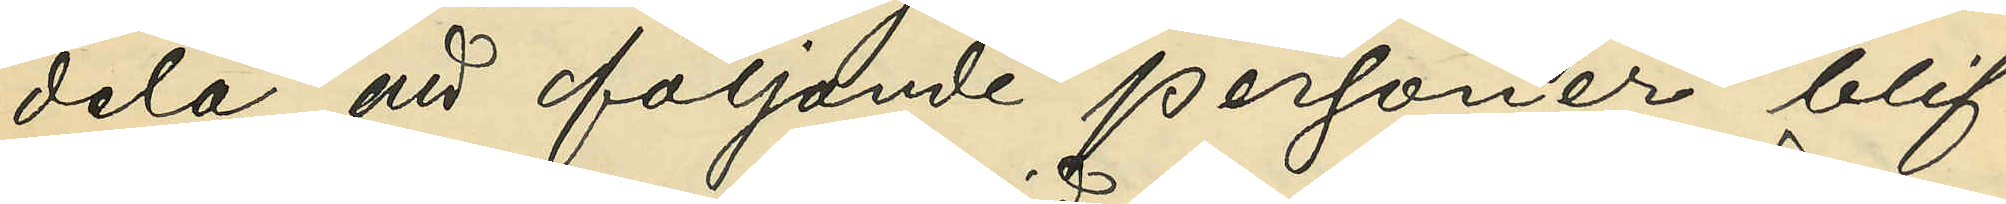dela, att följande personer blif¬
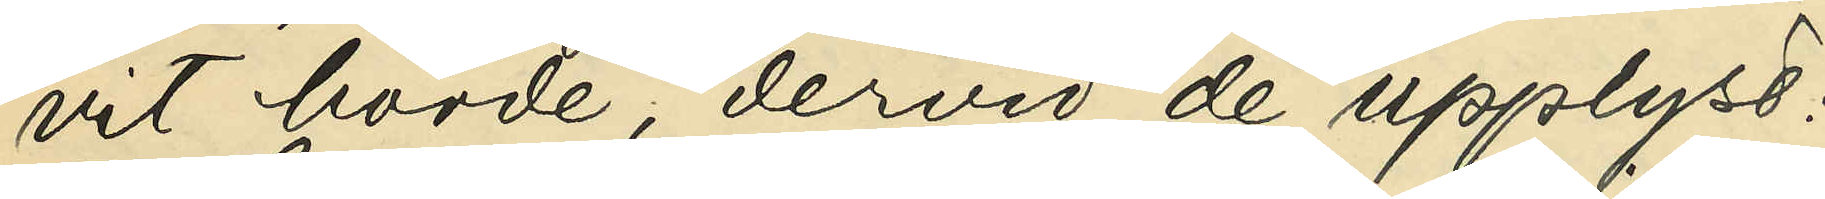vit hörde, dervid de uppgifvit:
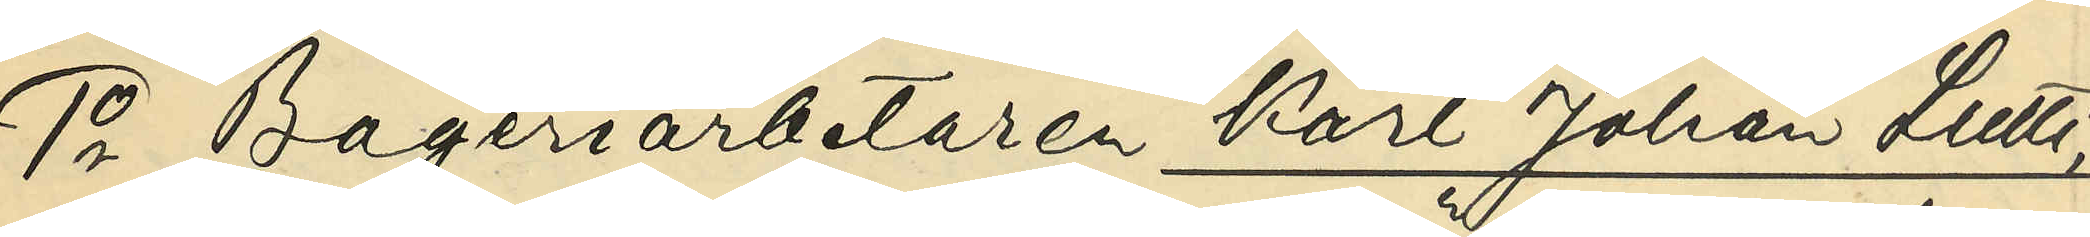1o Bageriarbetaren Karl Johan Lutti,
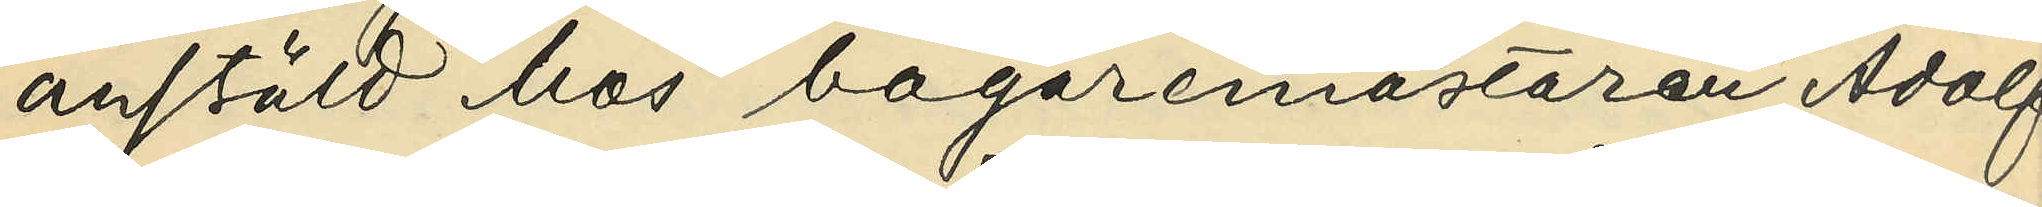anstäld hos bagaremästaren Adolf
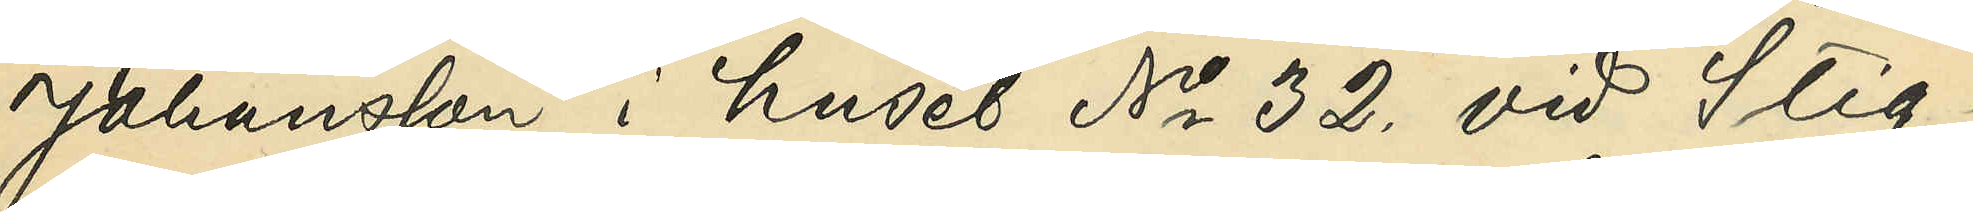Johansson i huset No 32. vid Stig¬
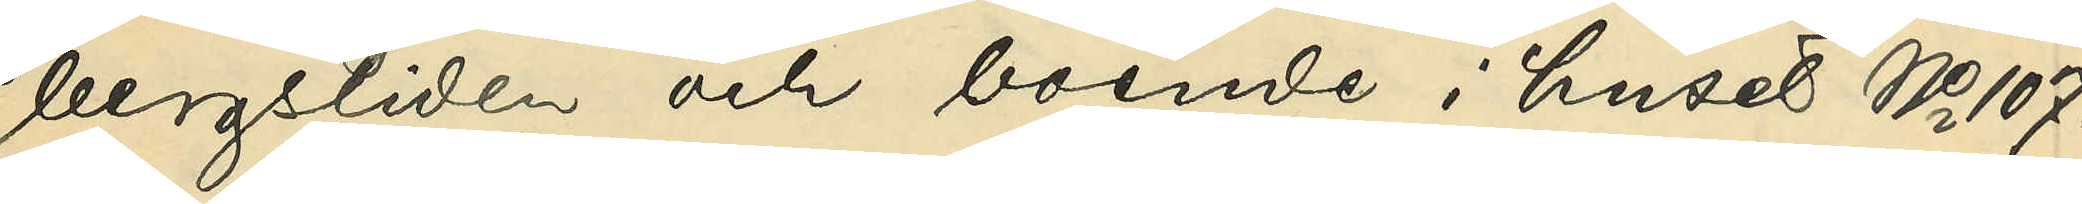bergsliden och boende i huset No 107.
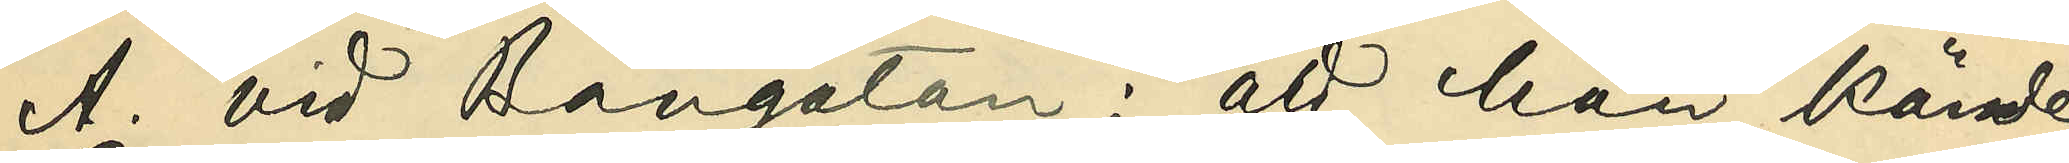A. vid Bangatan: att han kände
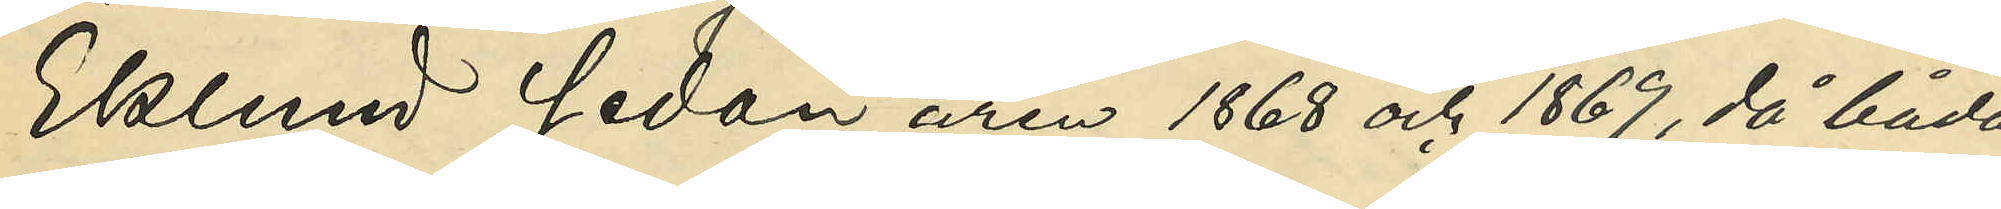Eklund sedan åren 1868 och 1869, då båda
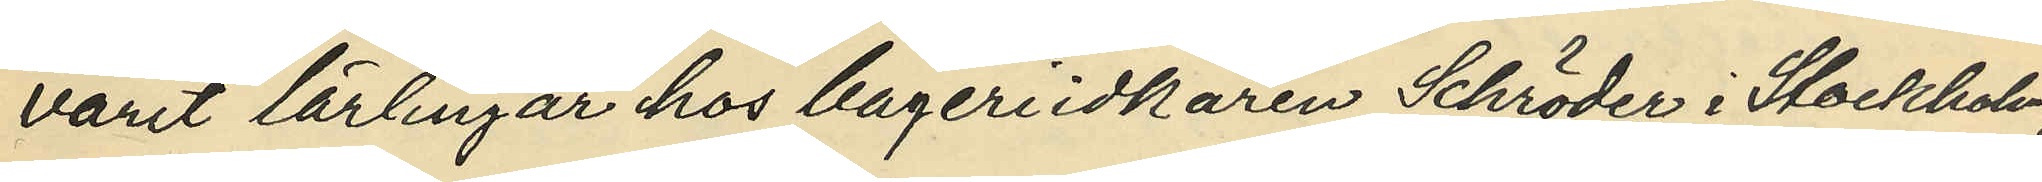varit lärlingar hos bageriidkaren Schröder i Stockholm,
